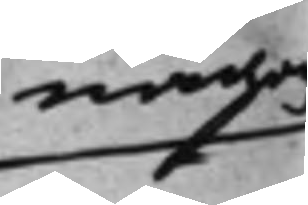någon
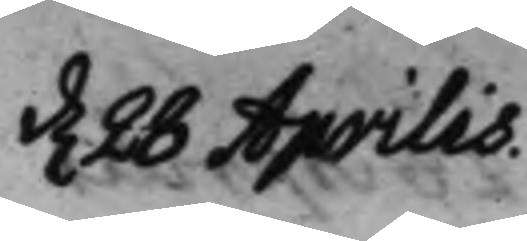d. 28 Aprilis.
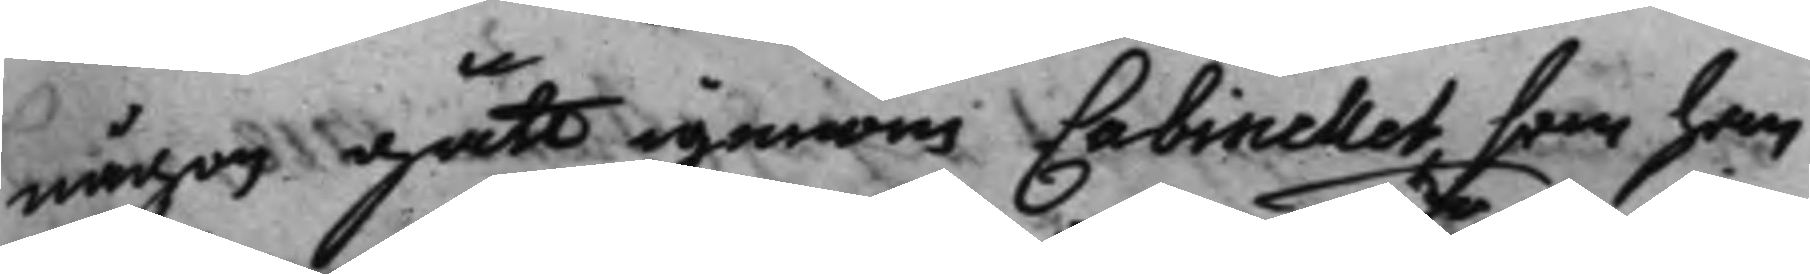någon gått igenom Cabinettet, som han
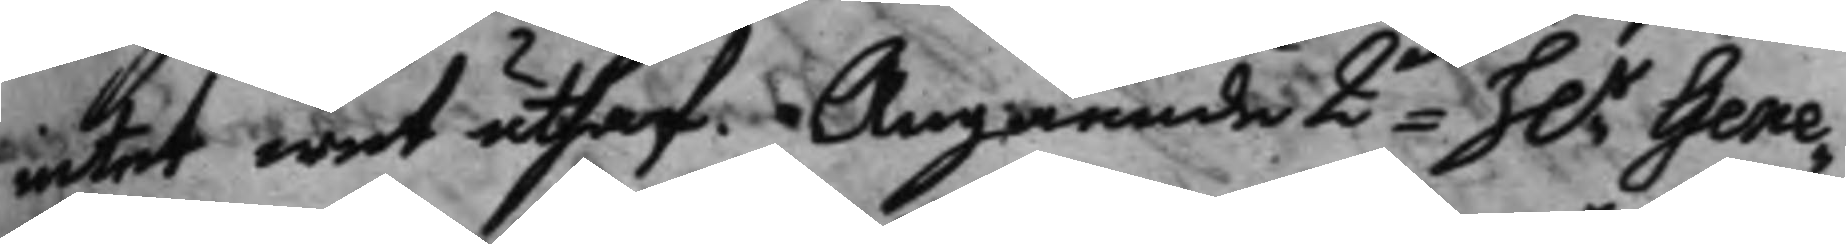intet wet uthaf. Angående 2do h.r Gene¬
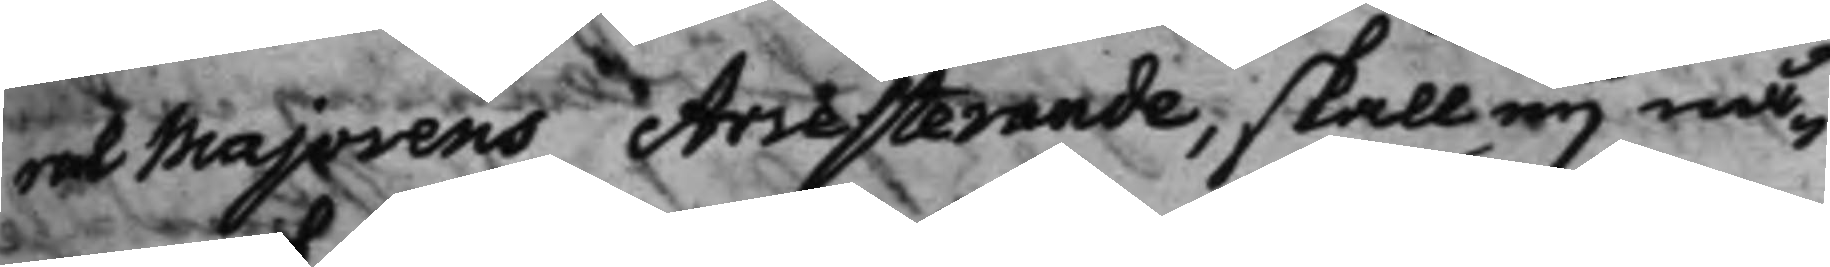ral Majorens Arresterande, skall eij nå¬
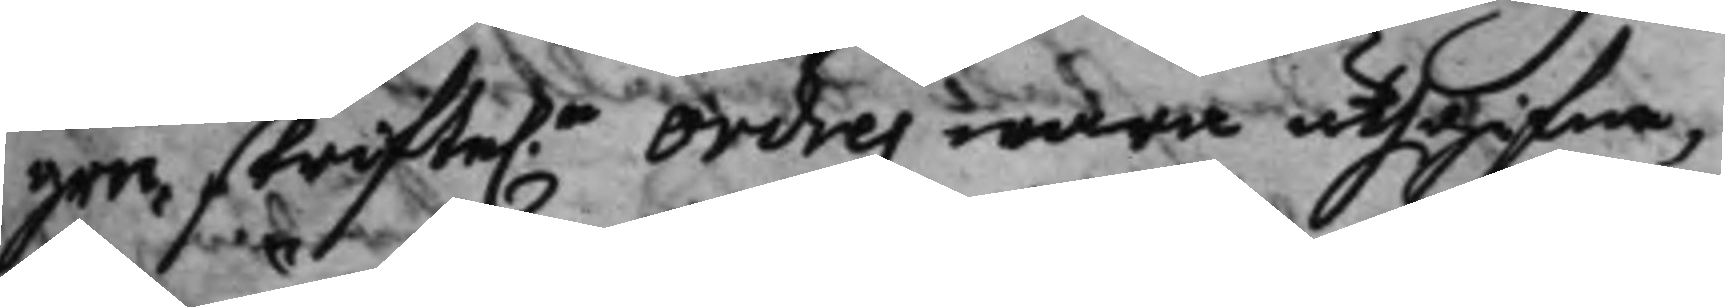gre skrifte.a Ordres wara uthgifna,
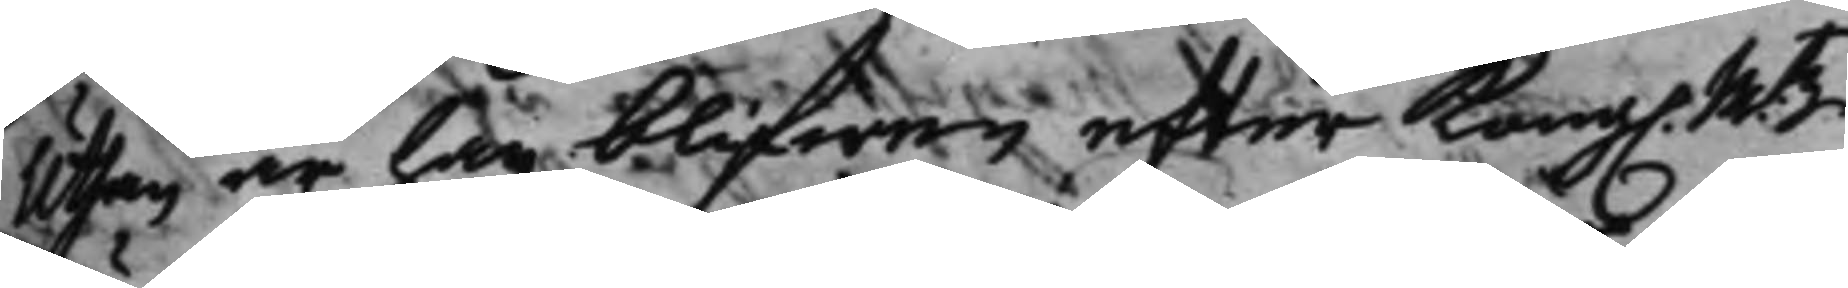uthanär han blifwen efter Kong. Mtz
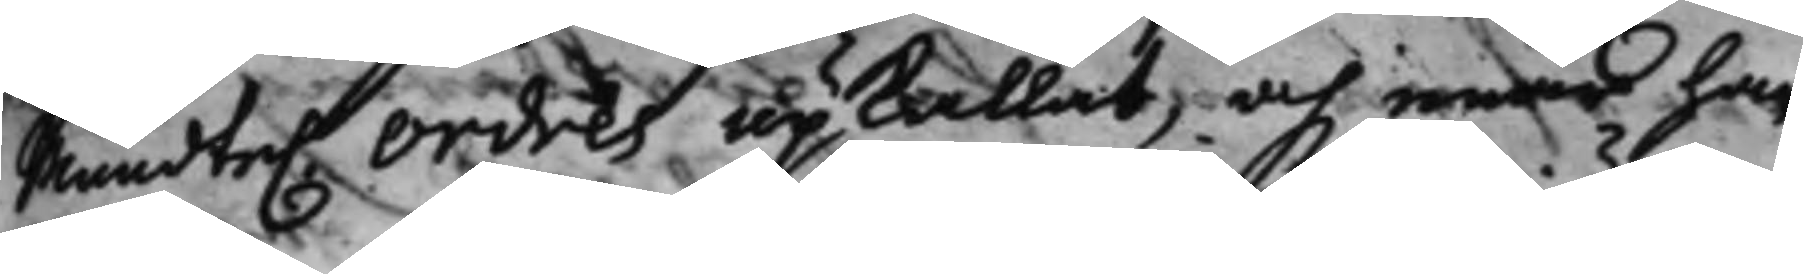mundte. Ordres upkallat, och näar har 
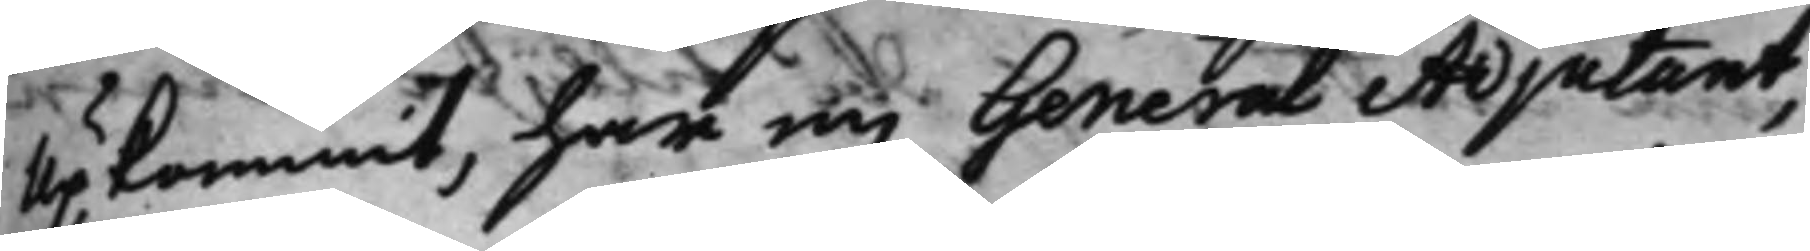upkommit, har en General Adjutant,
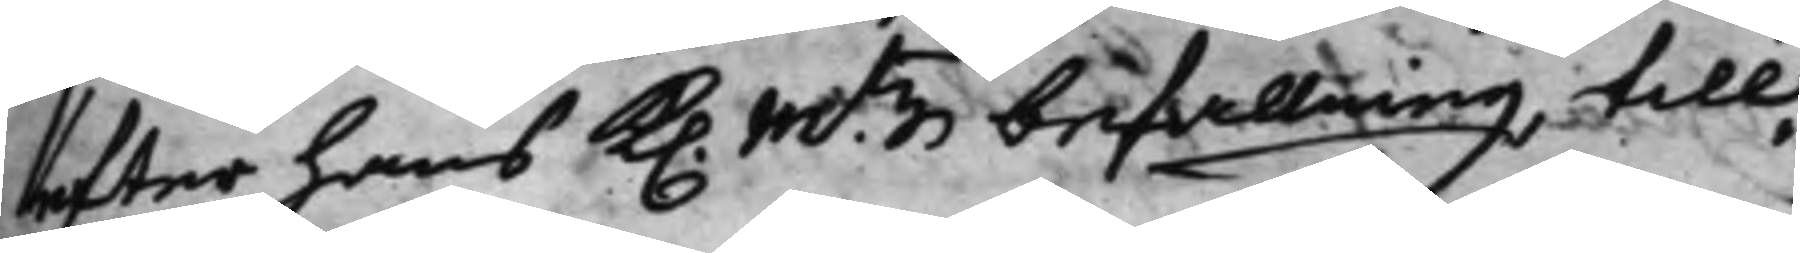efter hans K. Mtz befallning till¬
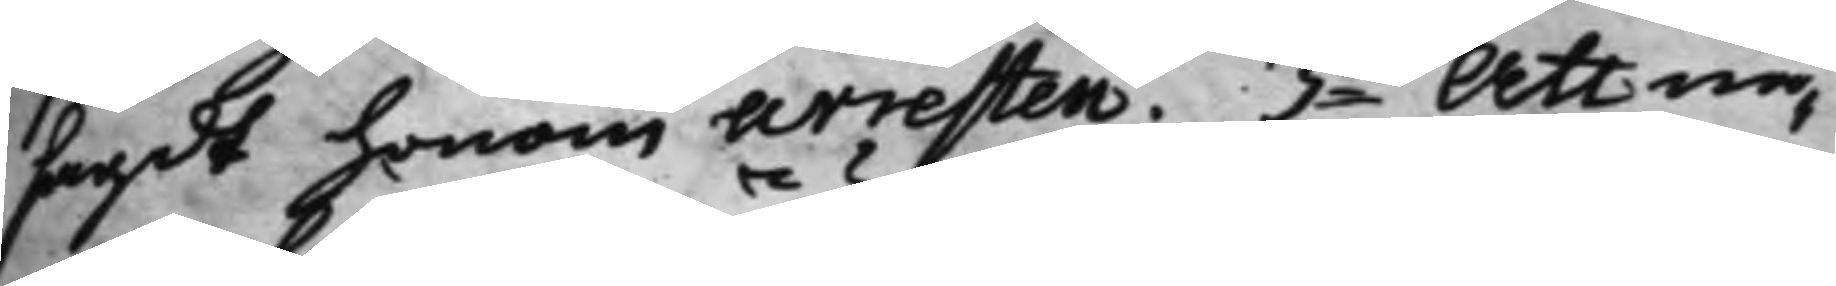sagdt honom arresten. 3o Att nå¬
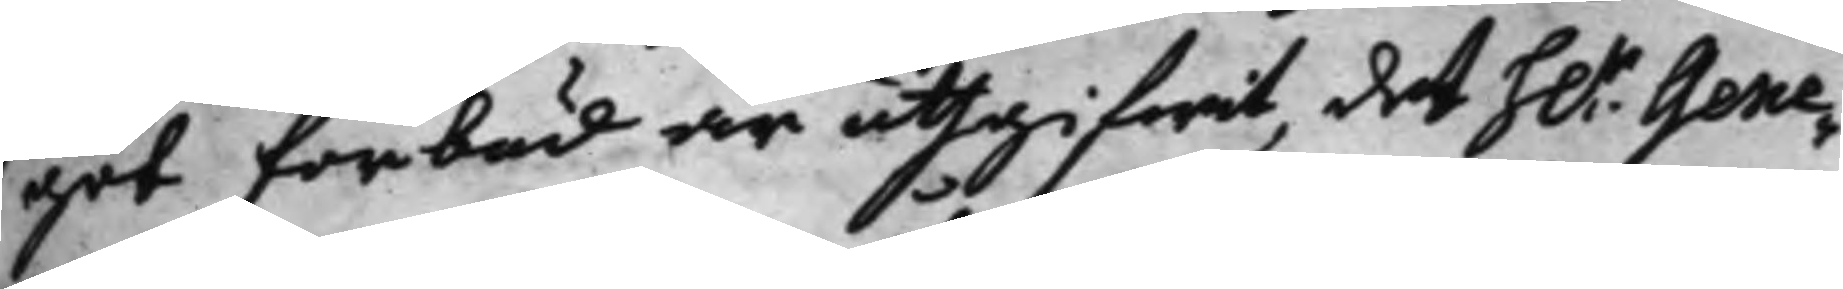got förbud är uthgifwit, det h.r Gene¬
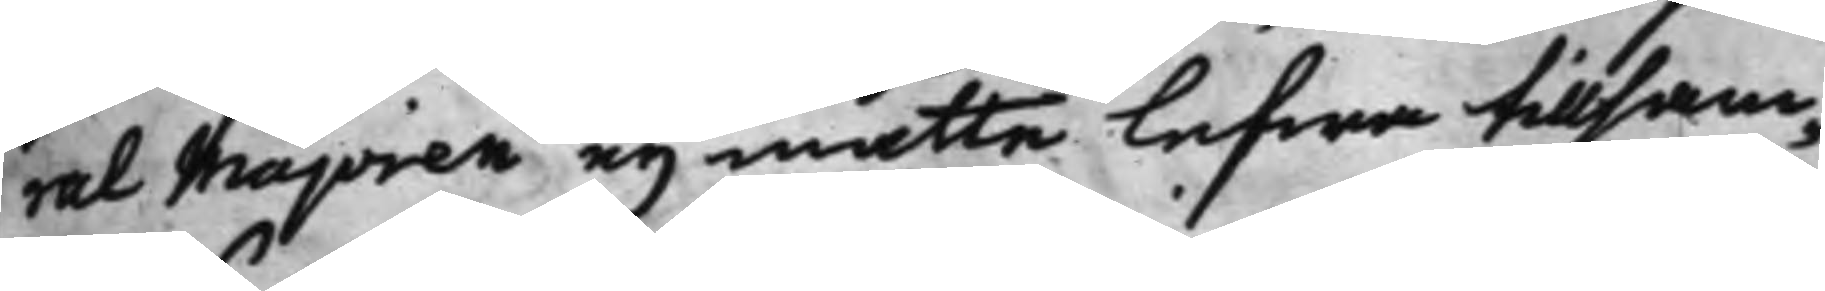ral Majoren eij måtte lefwa tillsam¬
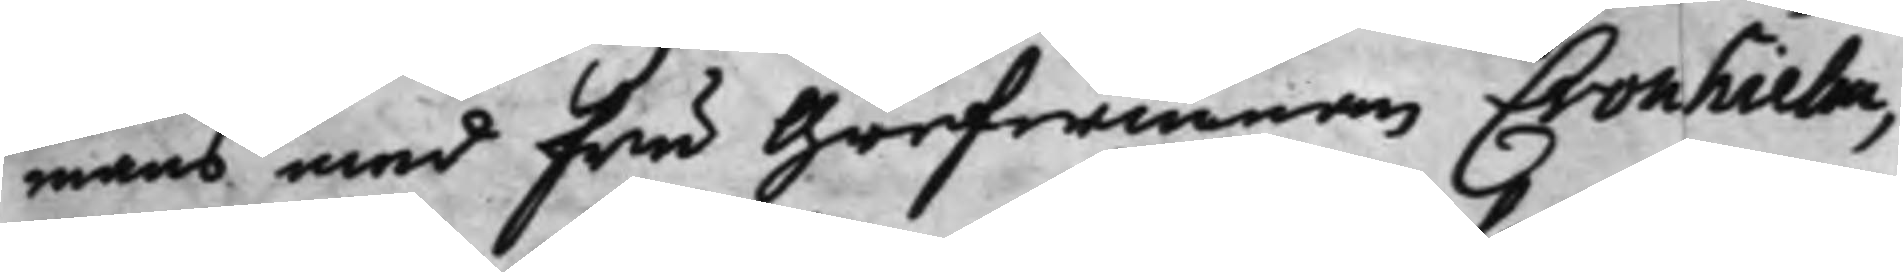mans med fru Grefwinnan Cronhielm,
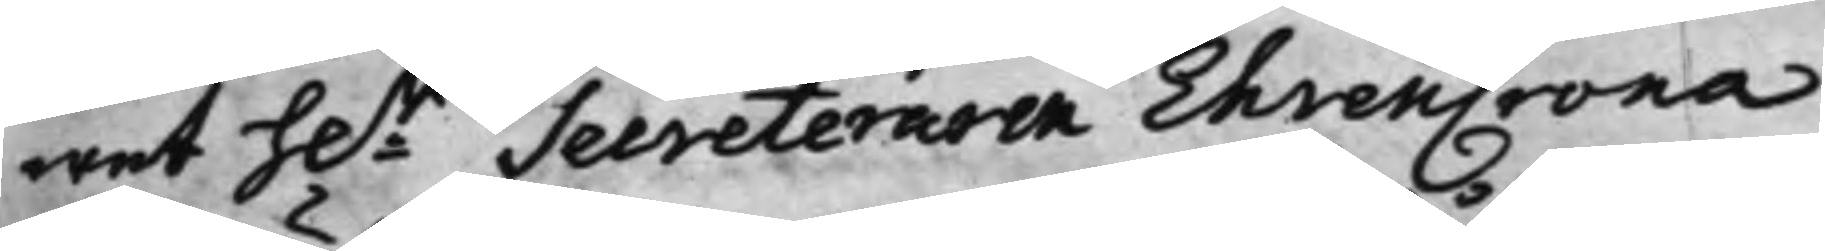wet h.r Secreteraren EhrenCrona
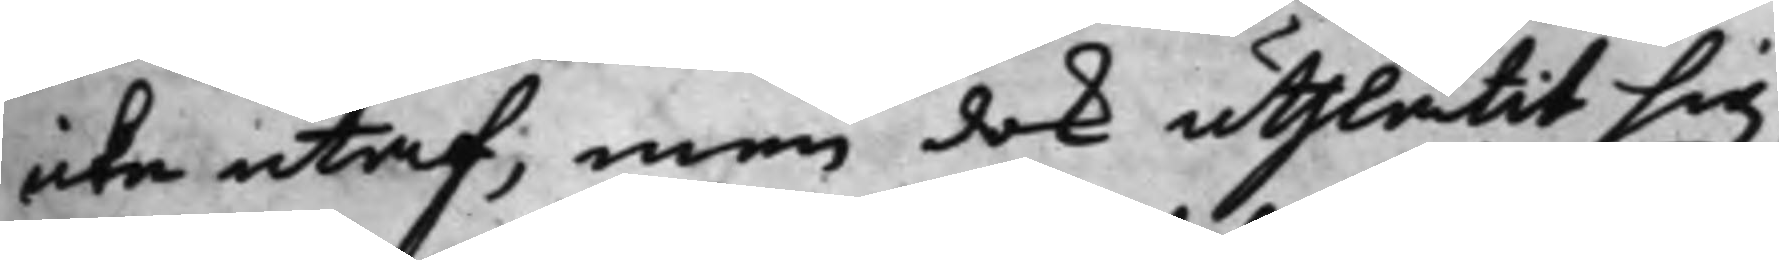icke utaf, men dok uthlåtit sig,
